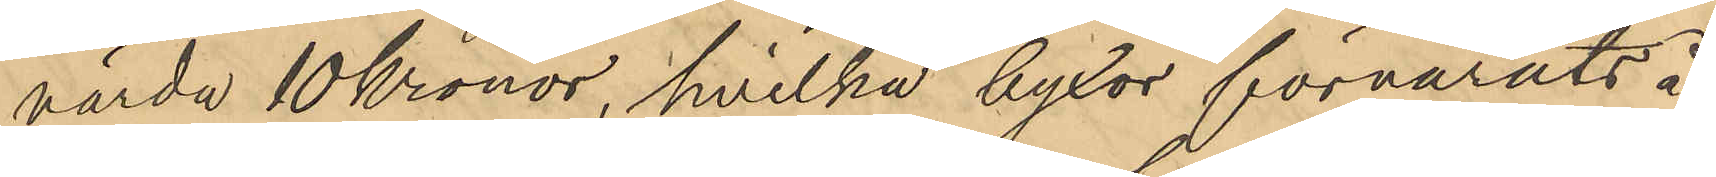värda 10 Kronor, hvilka byxor förvarats å
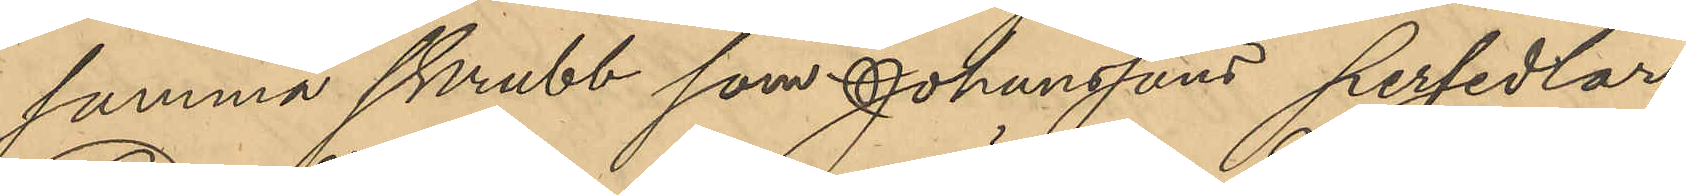samma skrubb som Johanssons persedlar
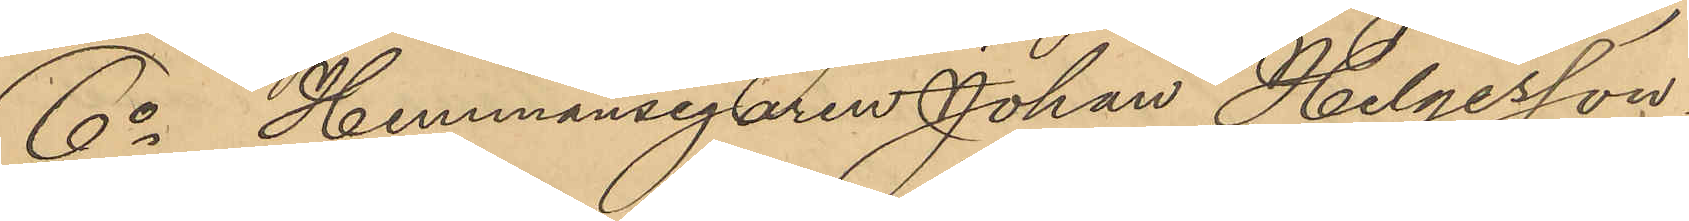6o Hemmansegaren Johan Helgesson,
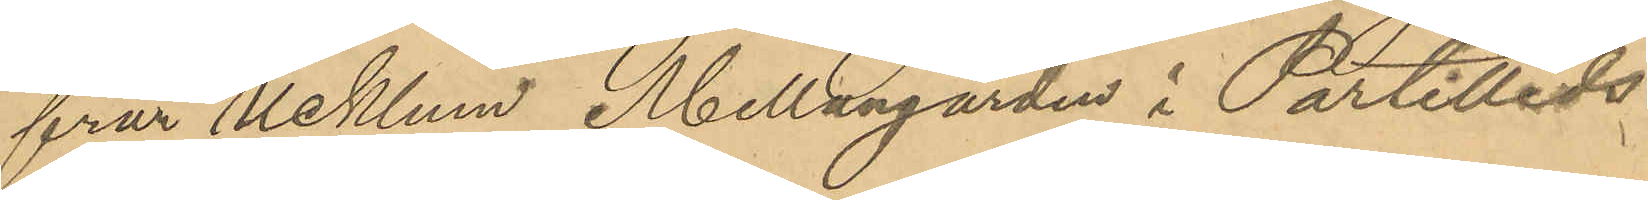från Ucklum Mellangården i Partilleds
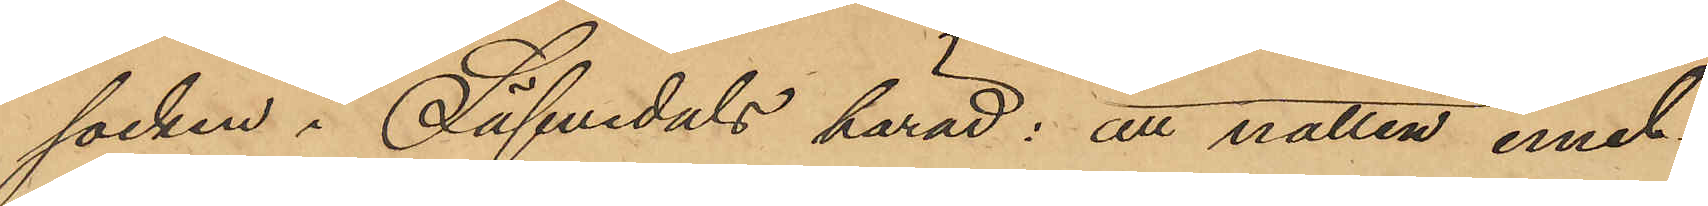socken i Säfvedals härad; att natten emel¬
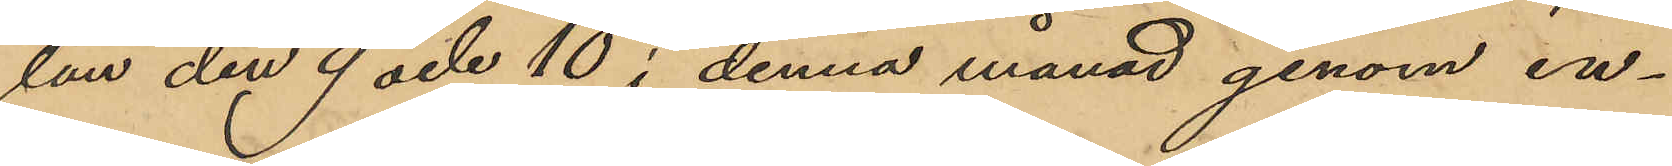lan den 9 och 10 i denna månad genom in¬
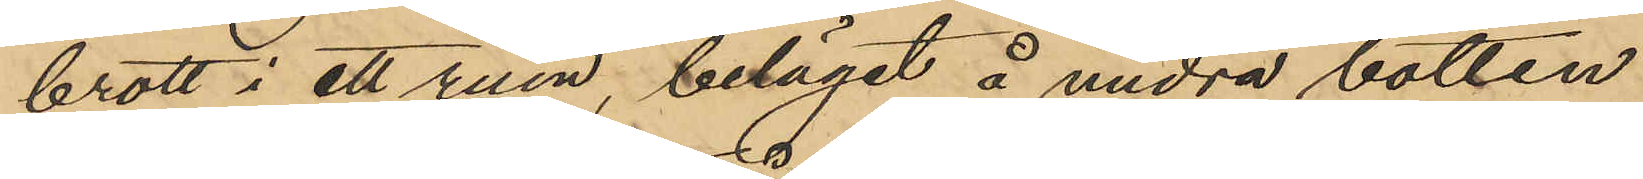brott i ett rum, beläget å andra botten
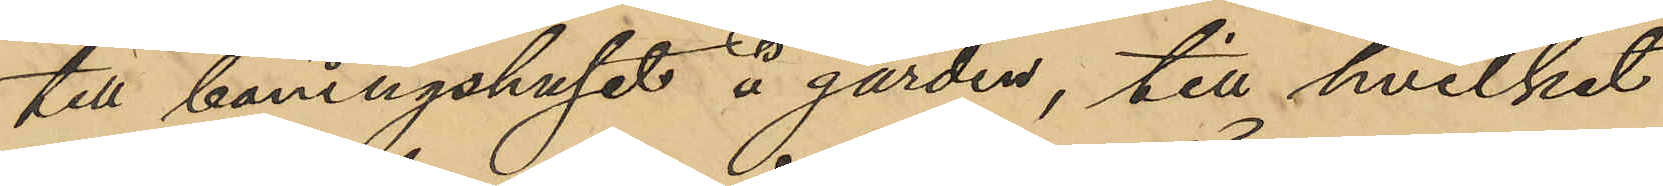till boningshuset å gården, till hvilket
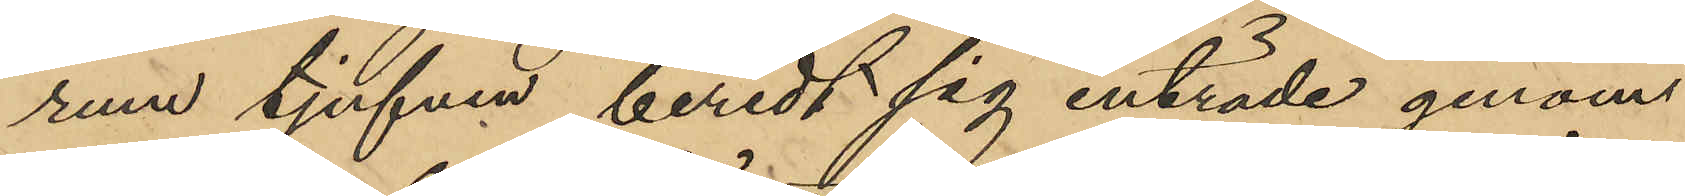rum tjufven beredt sig inträde genom
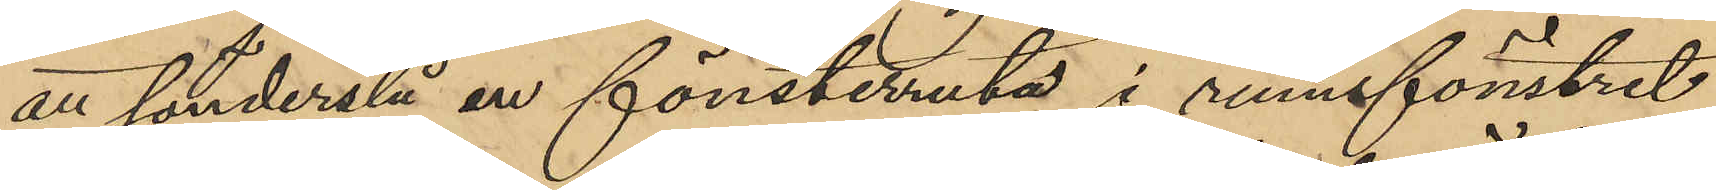att sönderslå en fönsterruta i rumsfönstret
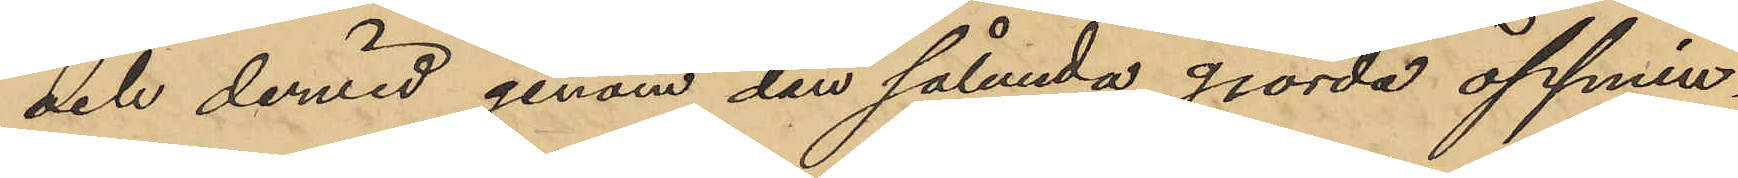och dervid genom den sålunda gjorda öppnin¬
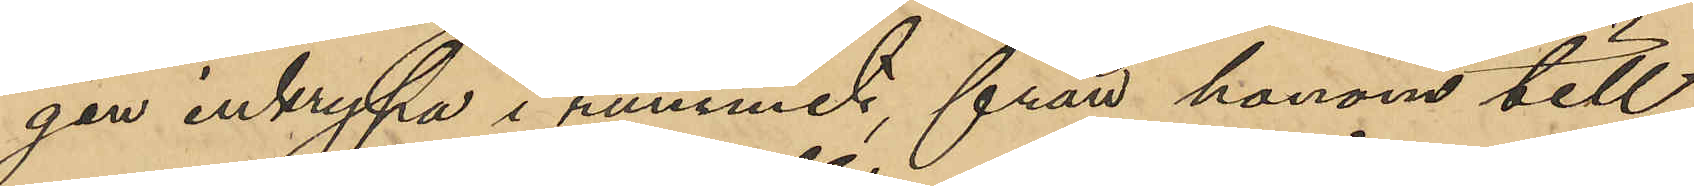gen inkrypa i rummet, från honom till¬
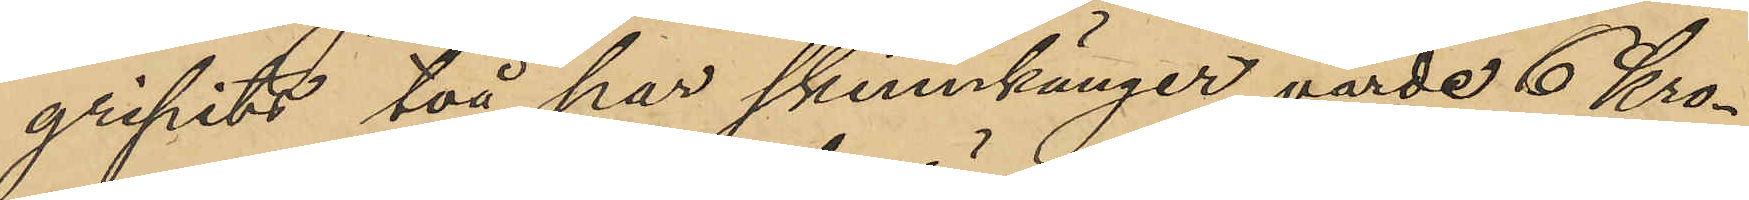gripits två par skinnkänger, värde 6 Kro¬
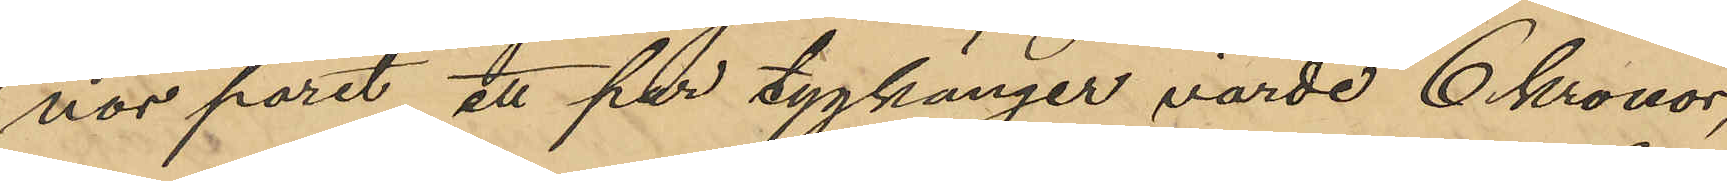nor paret, ett par tygkänger värde 6 Kronor,
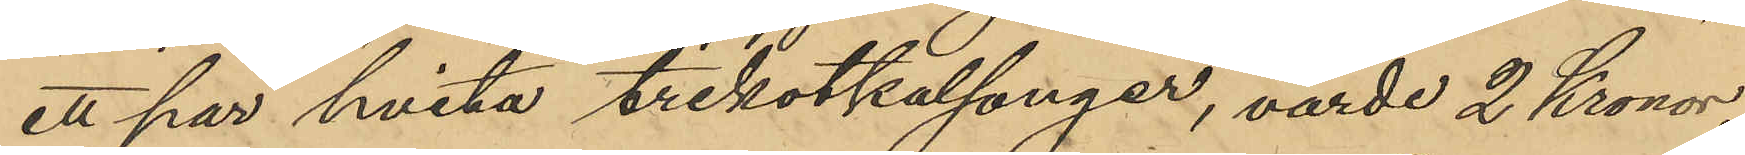ett par hvita trikotkalsonger, värde 2 Kronor
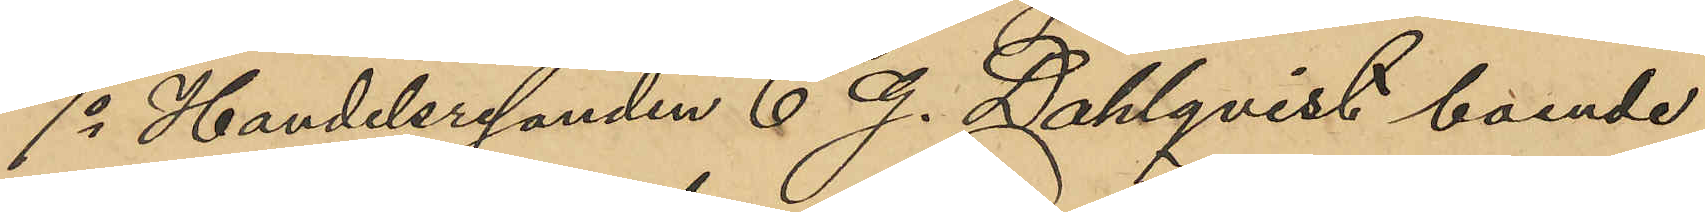7o Handelsresanden C. G. Dahlqvist boende
